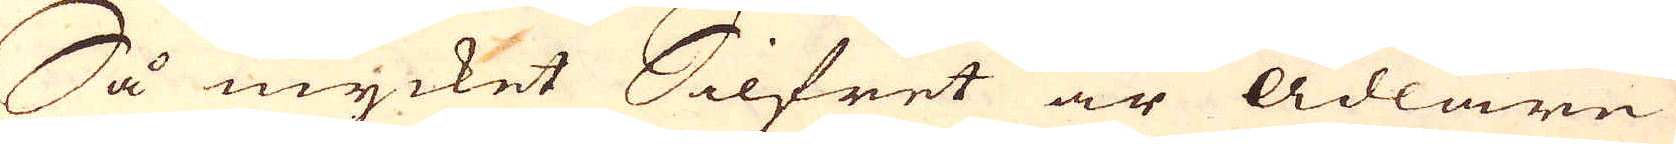Så mycket Silfret är ädlare
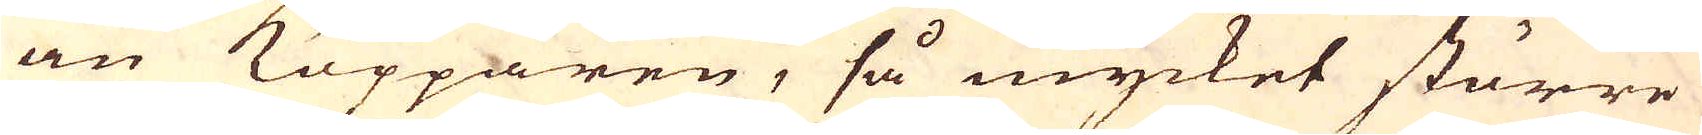än Kopparen, så mycket större
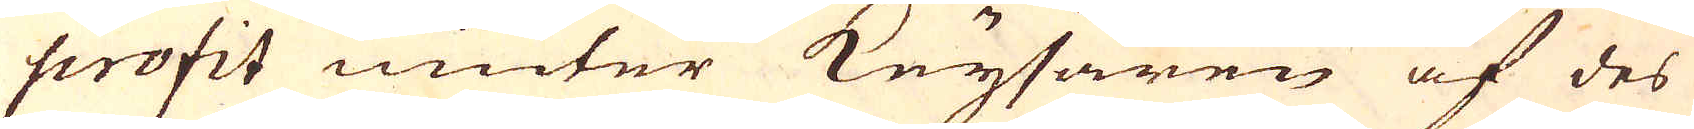profit niuter Keysaren af des
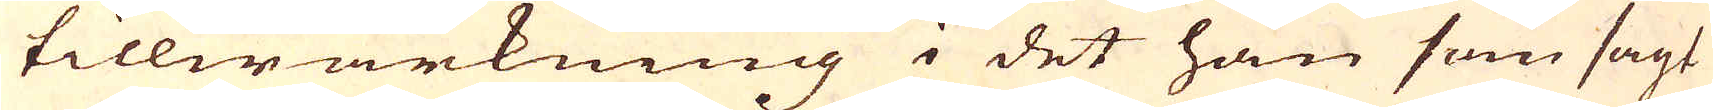tillwärkning i det han som sagt
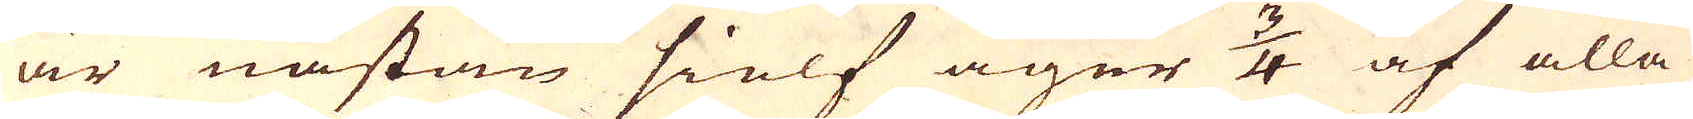är nästan sielf äger 3/4 af alla
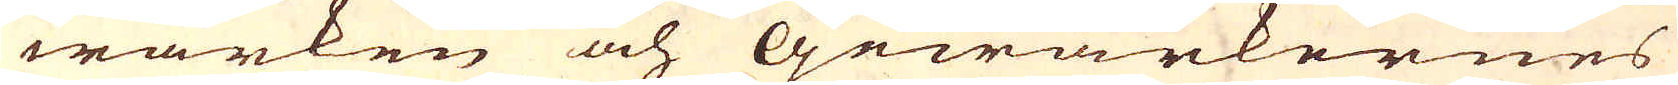wärken och Gewärkernes
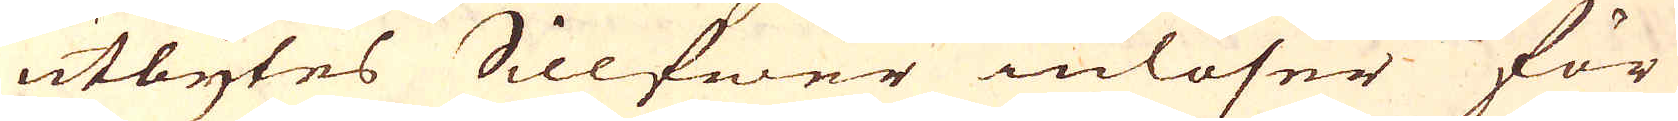utbytes Sillfwer inlöser för
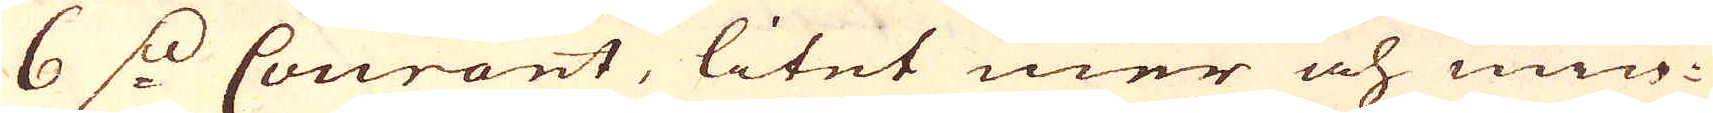6 s: Courant, litet mer och min-
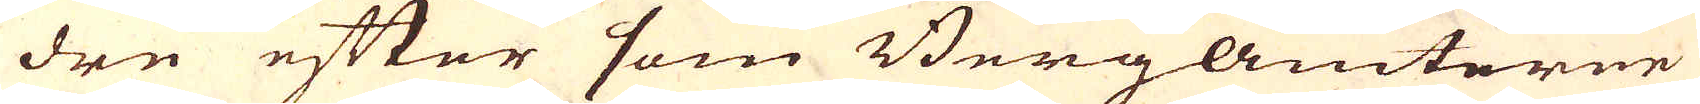dre efter som Bergamterne
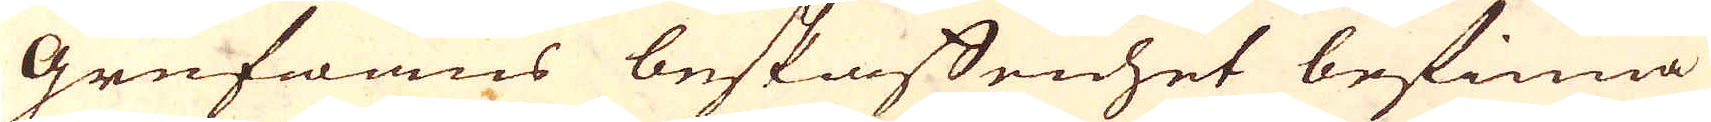grufwans beskaffenhet befinna
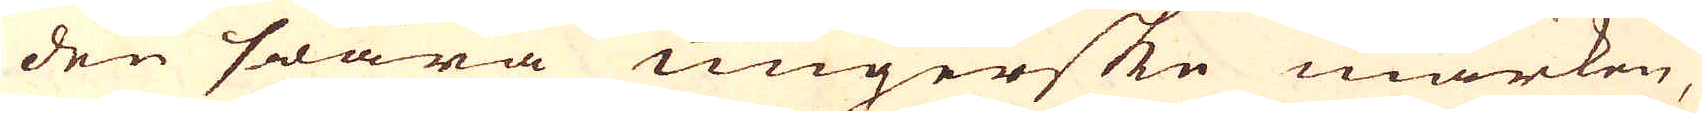den swara ungerske marken,
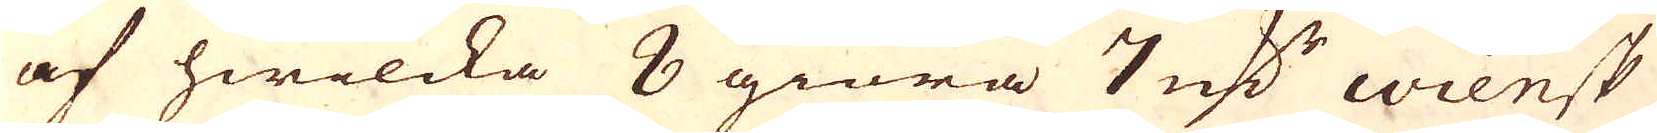af hwilcka 8 giöra 7 marker wiensk
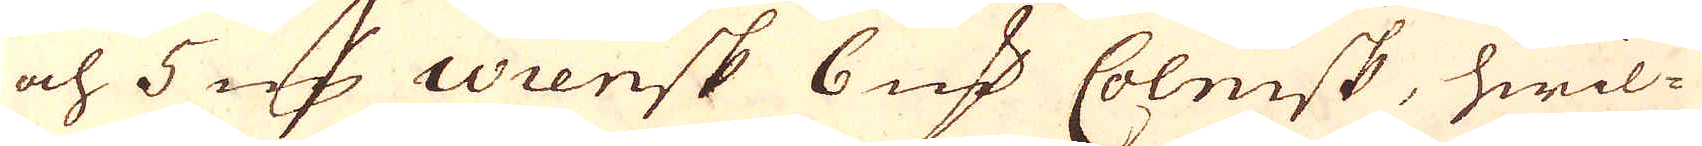och 5 marker wiensk 6 marker Colnisk, hwil-
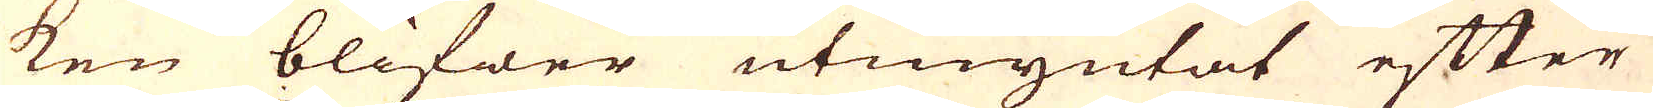ken blifwer utmyntat efter
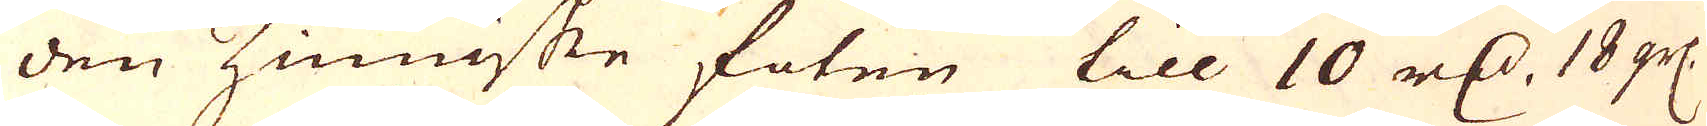den Zinniske foten till 10 r:dr, 18 grs.
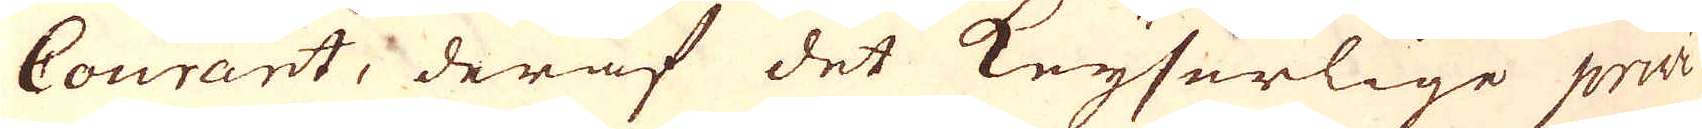Courant, deraf det Keyserlige privi-
